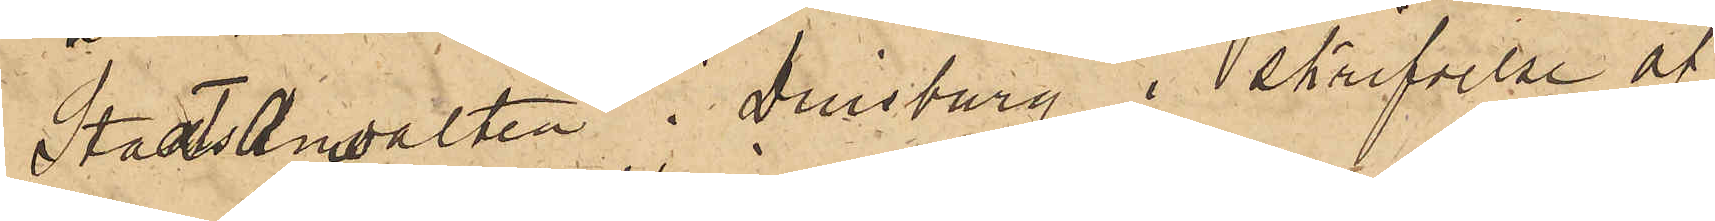Staatsanwaldten i Duisburg i skrifvelse af
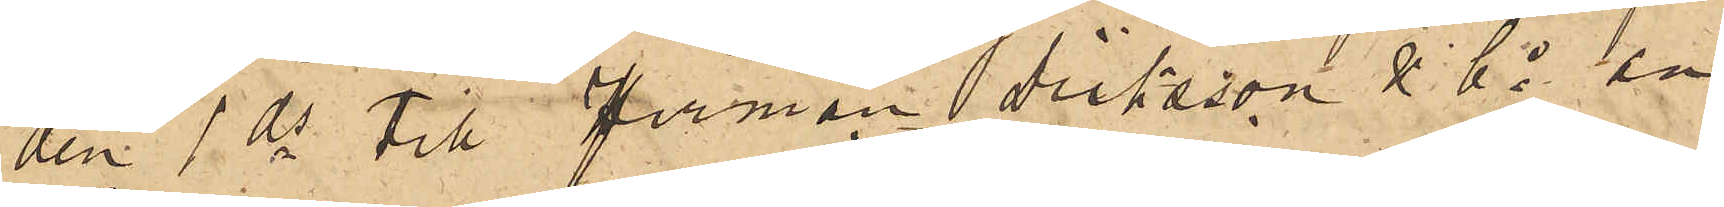den 1 ds till firman Dicksson & Co an¬
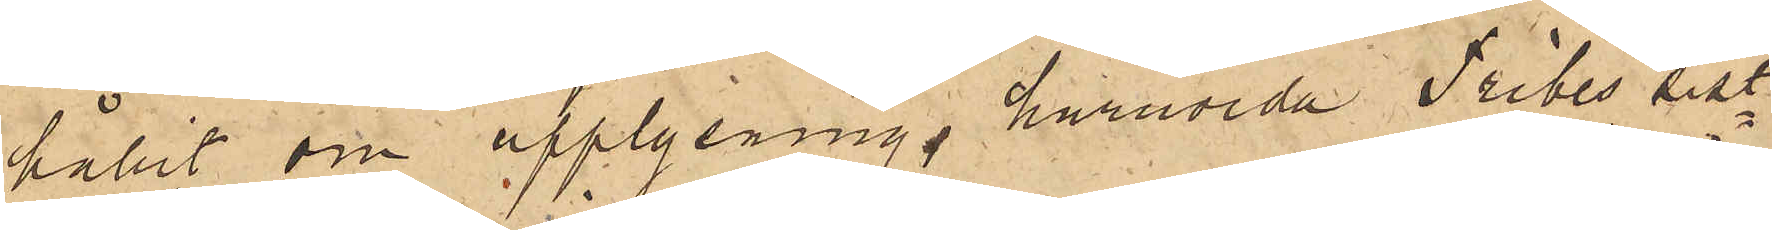hållit om upplysning huruvida Tribes sist¬
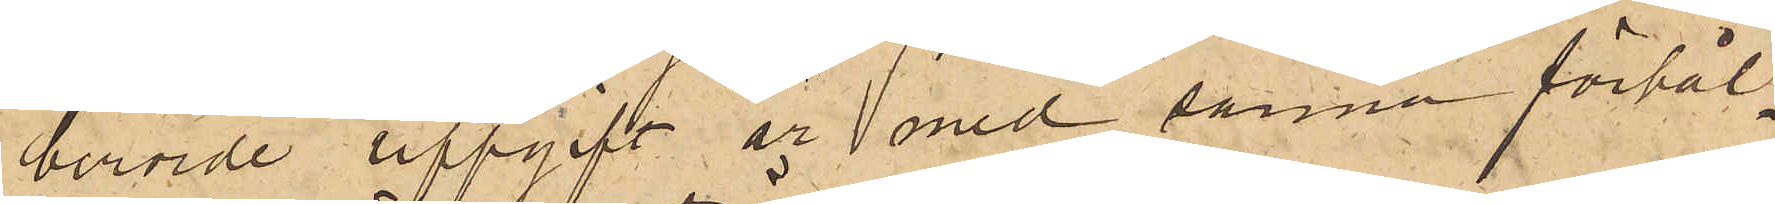berörde uppgift är med sanna förhål¬
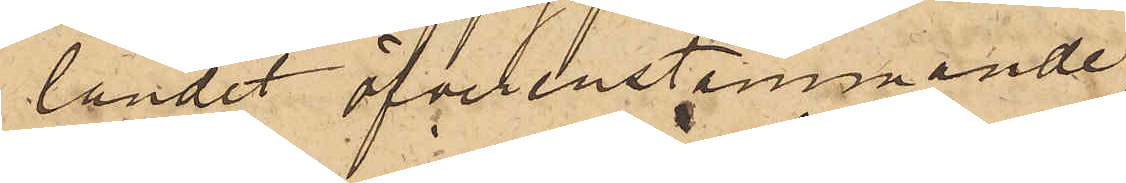landet öfverenstemmande.
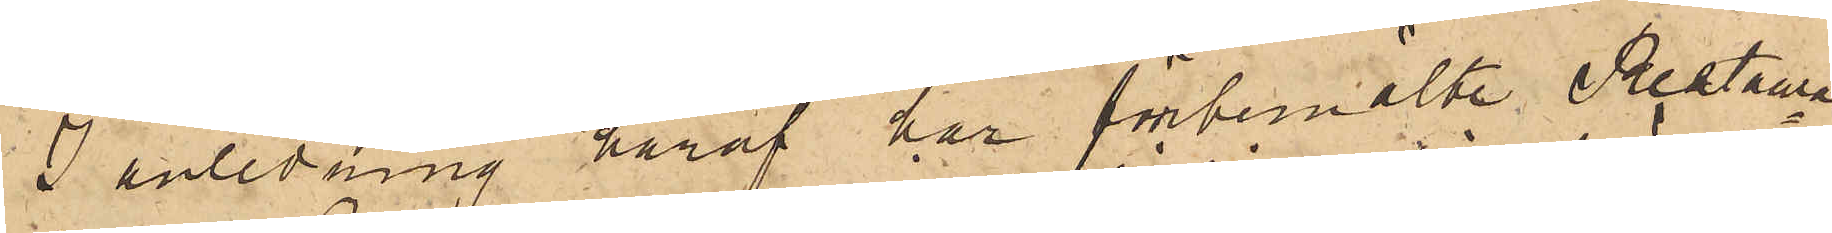I anledning häraf har förbemälte Restaura¬
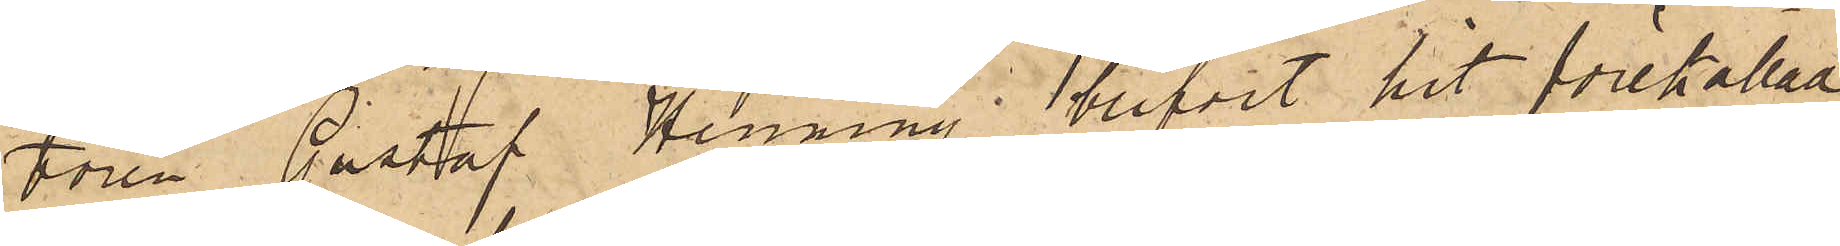tören Gustaf Henning blifvit hit förekallad 
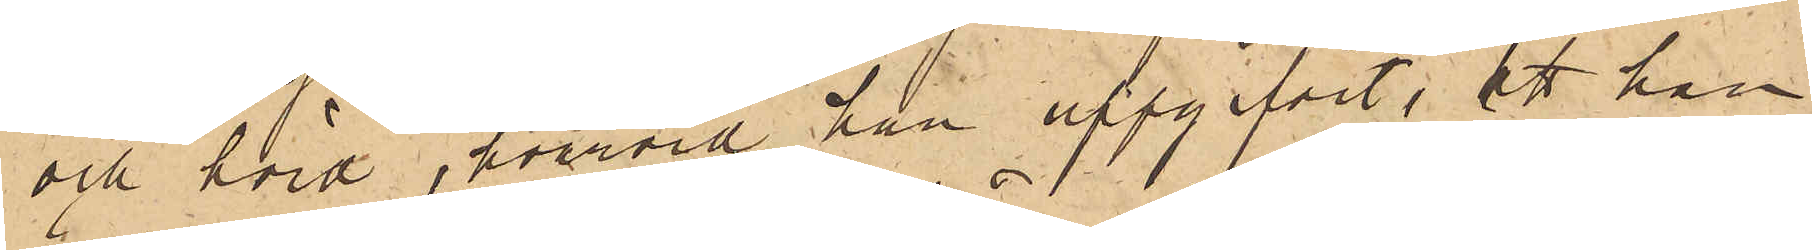och hörd, hvarvid han uppgifvit, att han
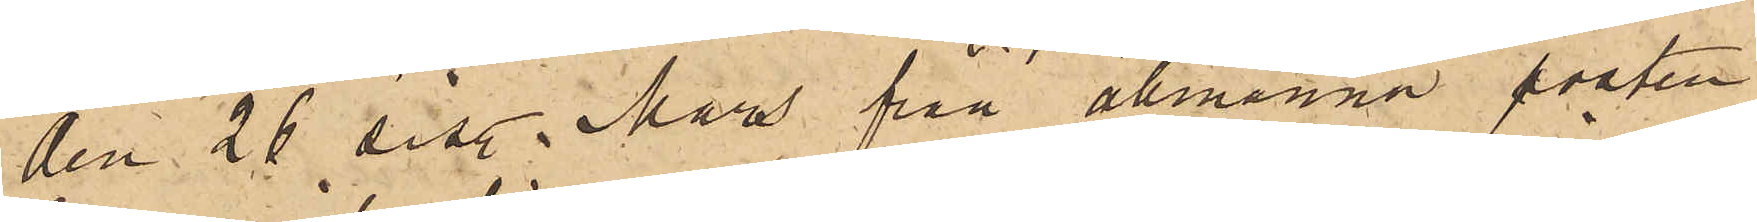den 26 sist. Mars från allmänna posten
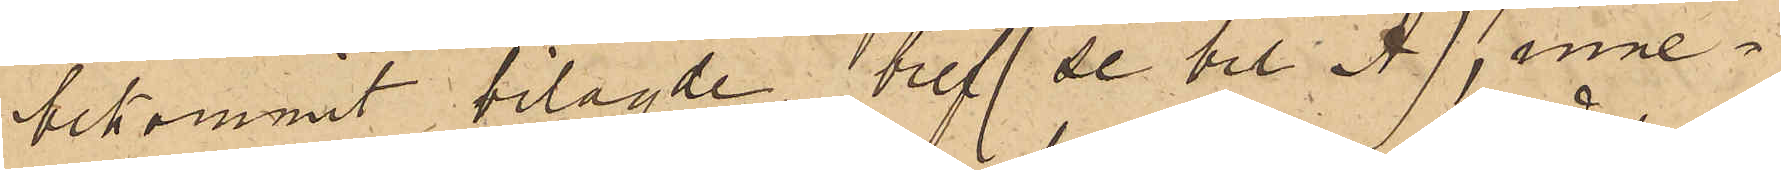bekommit bilagde bref (se bil. A), inne¬
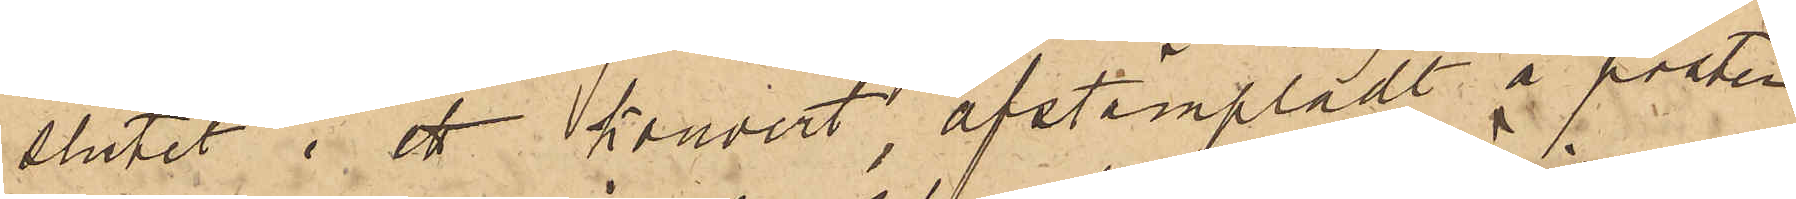slutet i ett kuvert, afstämpladt å posten
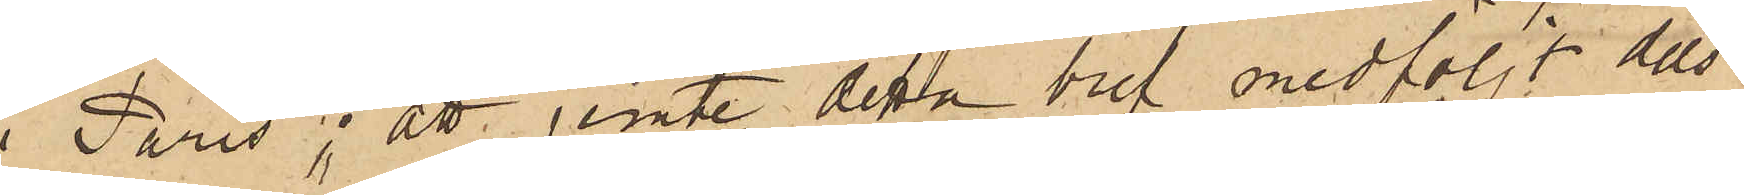i Paris; att jemte detta bref medföljt dels
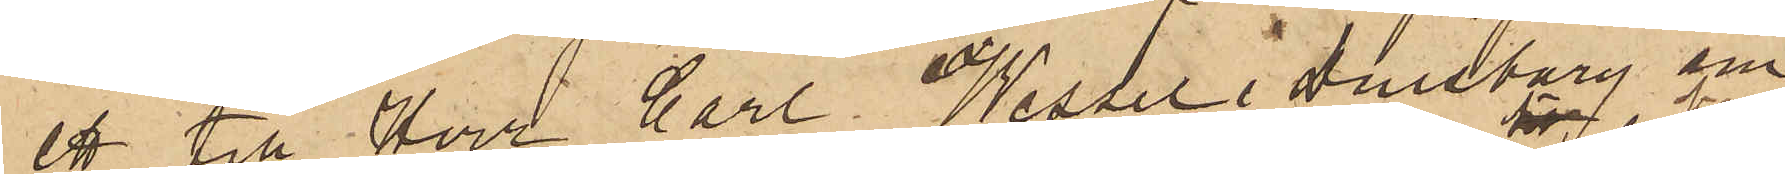ett till Herr Carl Wessel i Duisburg am 
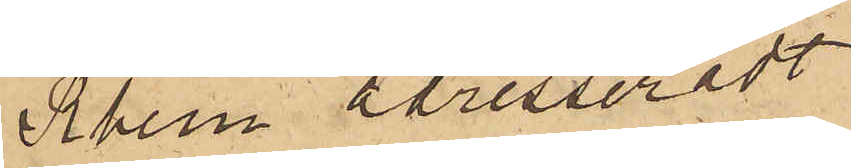Rhein adresseradt
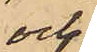och
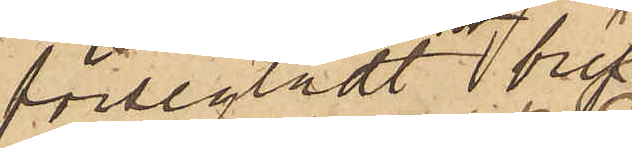försegladt brev
